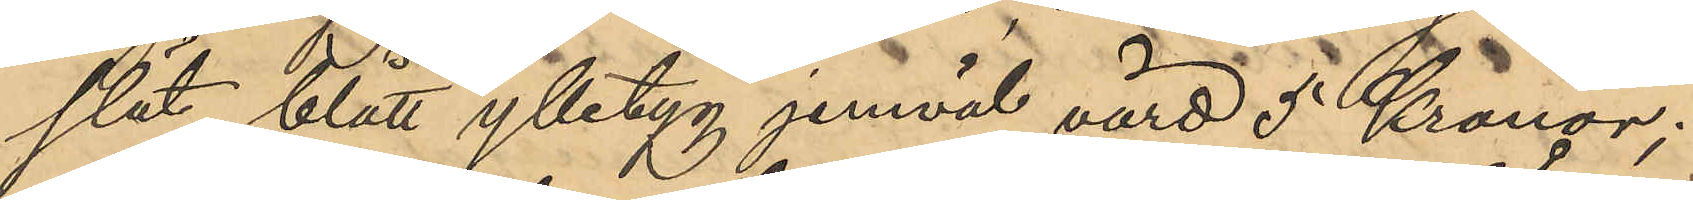slät blått ylletyg jemväl värd 5 Kronor;
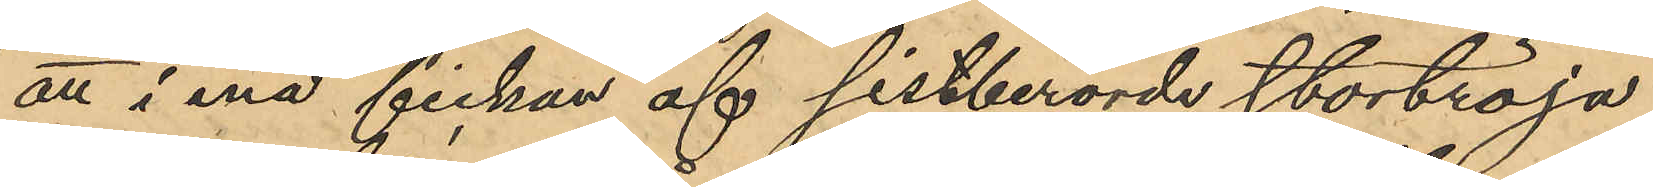att i ena fickan af sistberörde stortröja
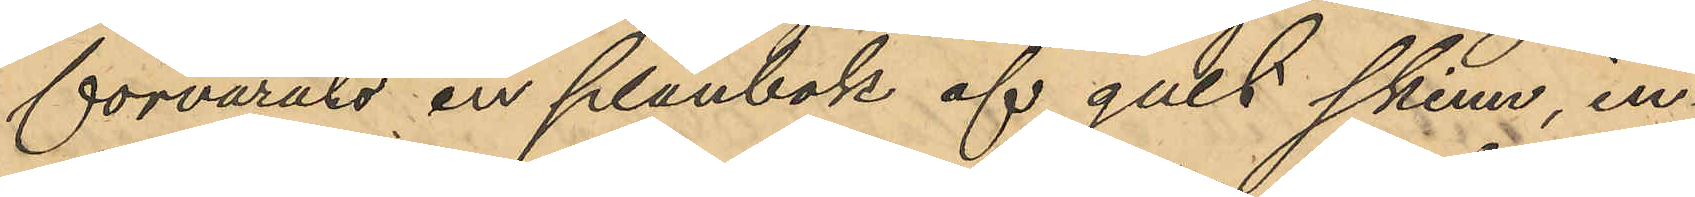förvarats en plånbok af gult skinn in¬
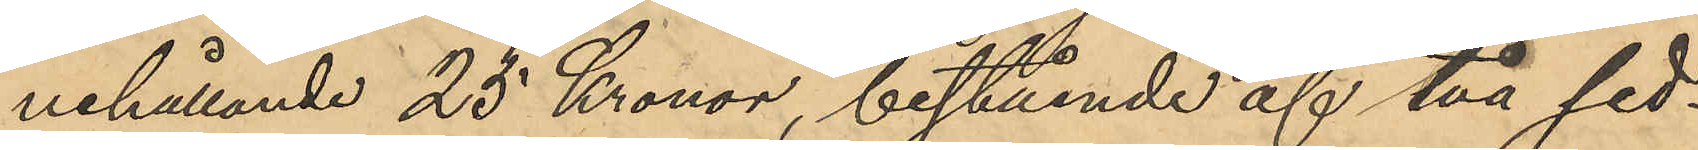nehållande 25 Kronor, bestående af två sed¬
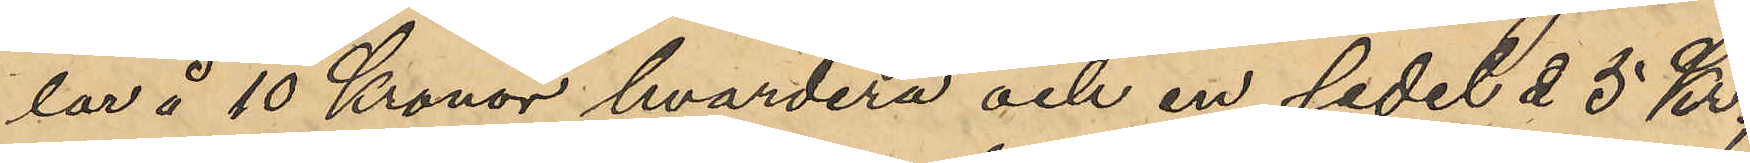lar å 10 Kronor hvardera och en sedel å 5 Kr.,
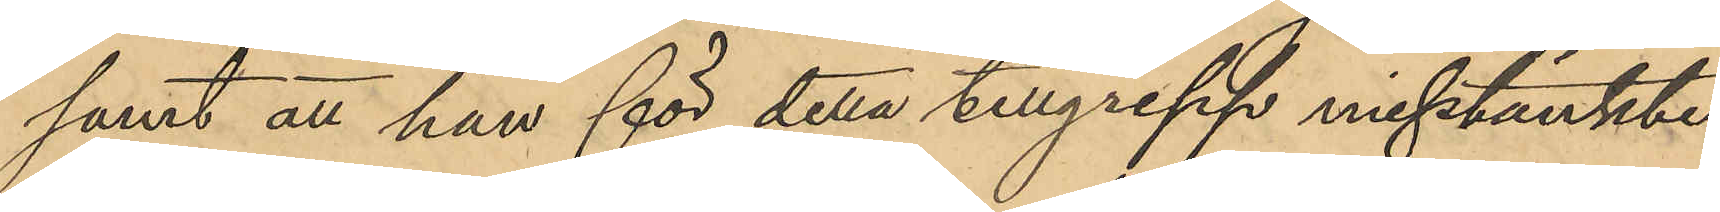samt att han för detta tillgrepp misstänkte
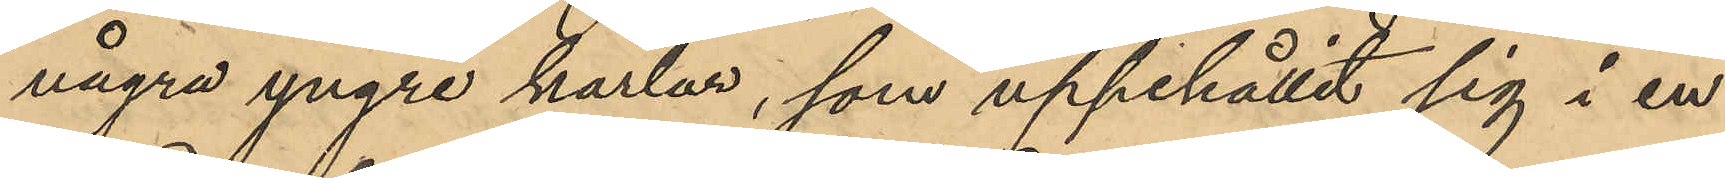några yngre karlar, som uppehållit sig i en
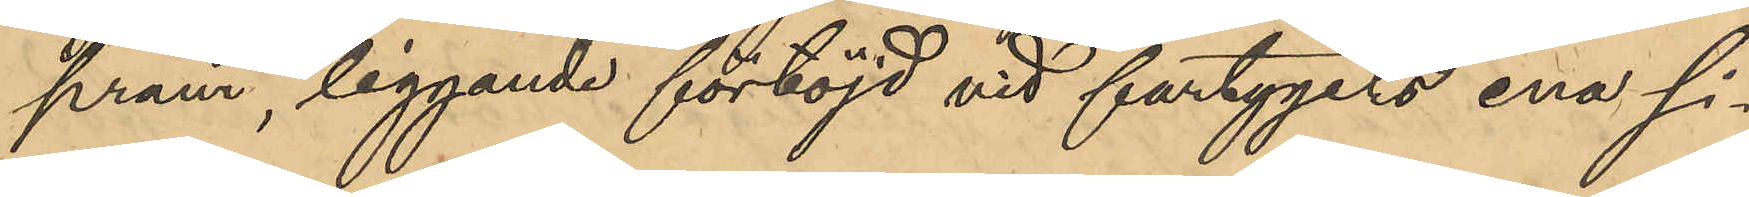pråm, liggande förtöjd vid fartygets ena si¬
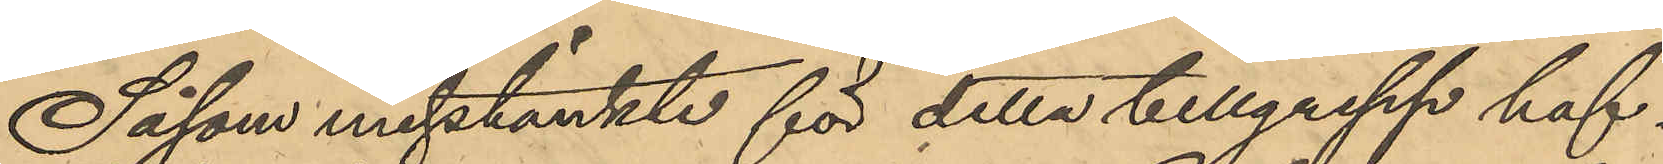Såsom misstänkte för detta tillgrepp haf¬
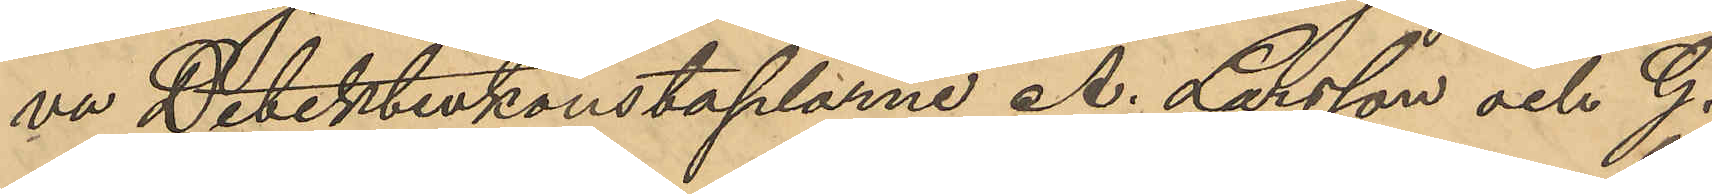va Detektivkonstaplarne A. Larsson och G.
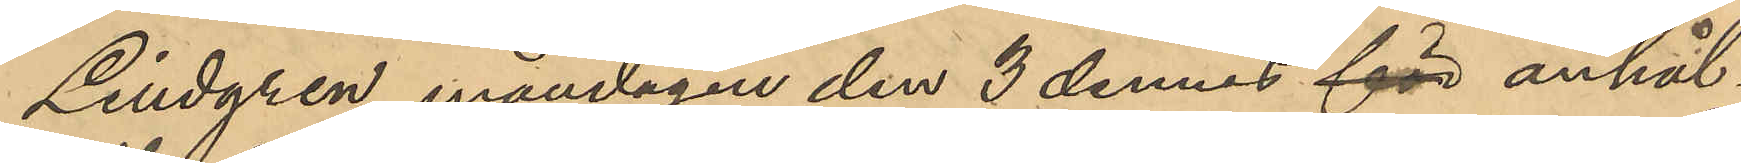Lindgren måndagen den 3 dennes för anhål¬
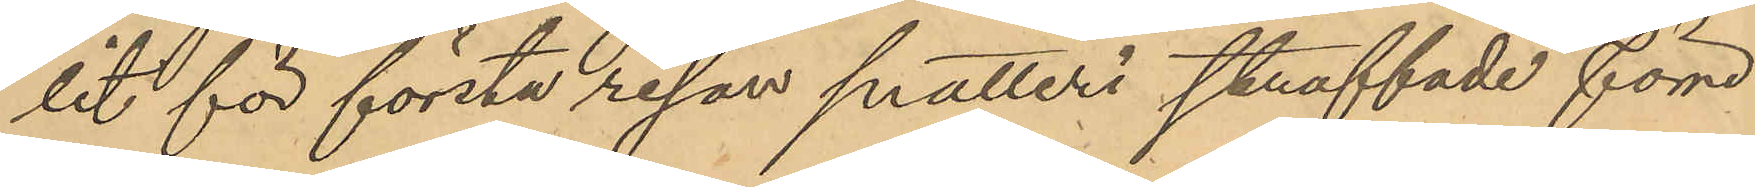lit för första resan snatteri straffade förre
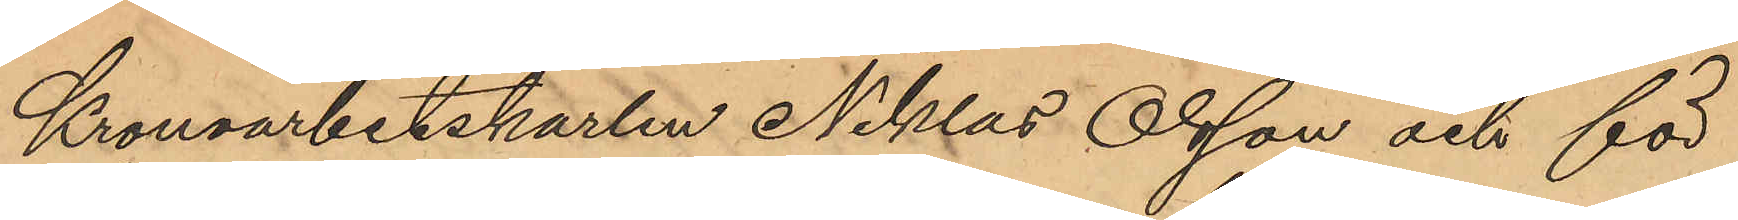Kronoarbetskarlen Niklas Olsson och för
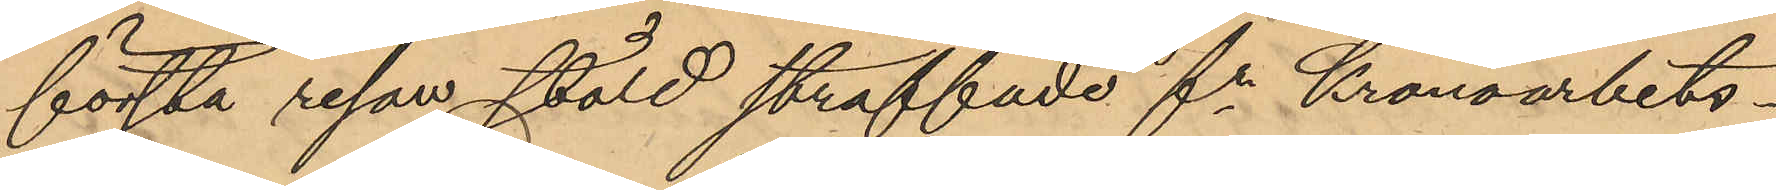första resan stöld straffade fe Kronoarbets¬
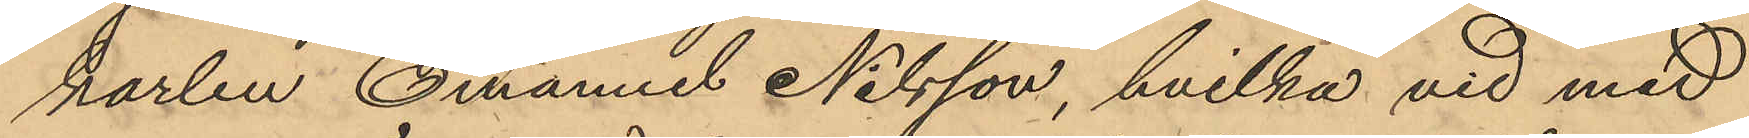karlen Emanuel Nilsson, hvilka vid med
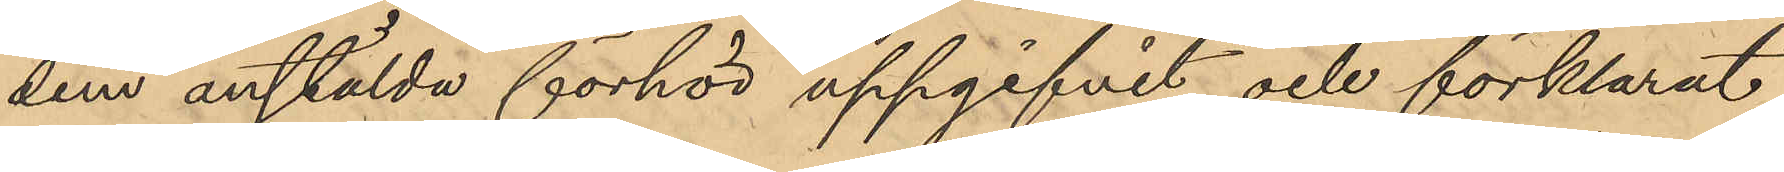dem anstälda förhör uppgifvit och förklarat
